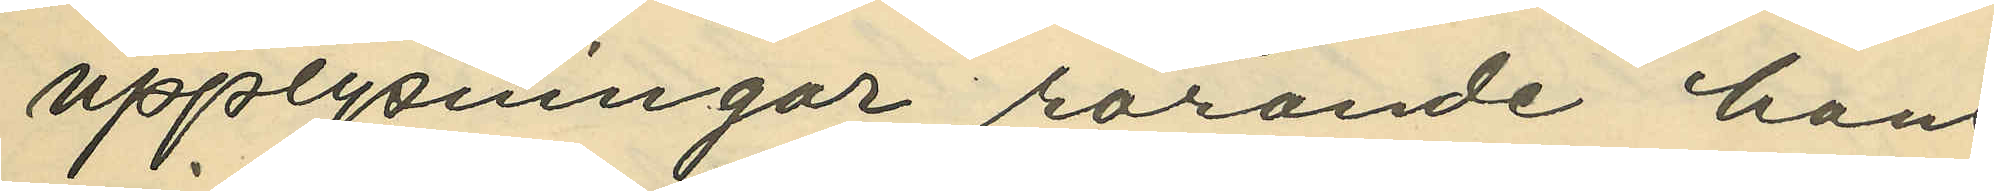upplysningar rörande hans 
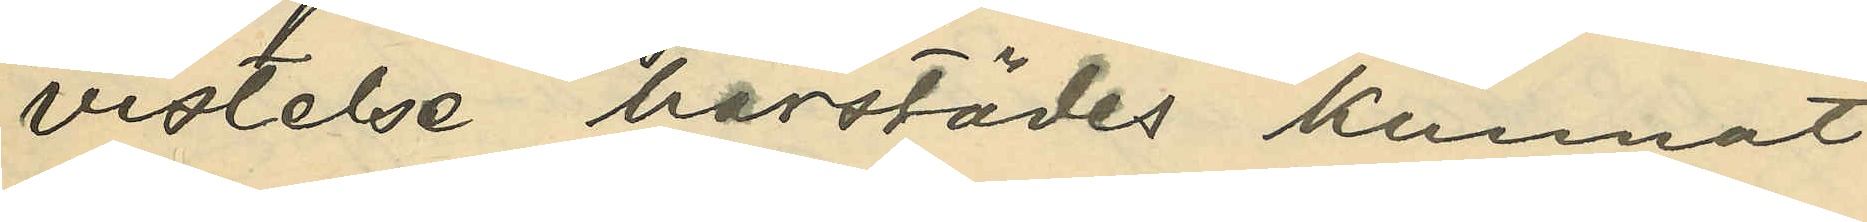vistelse härstädes kunnat
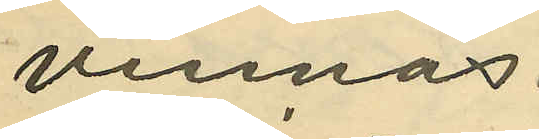vinnas.
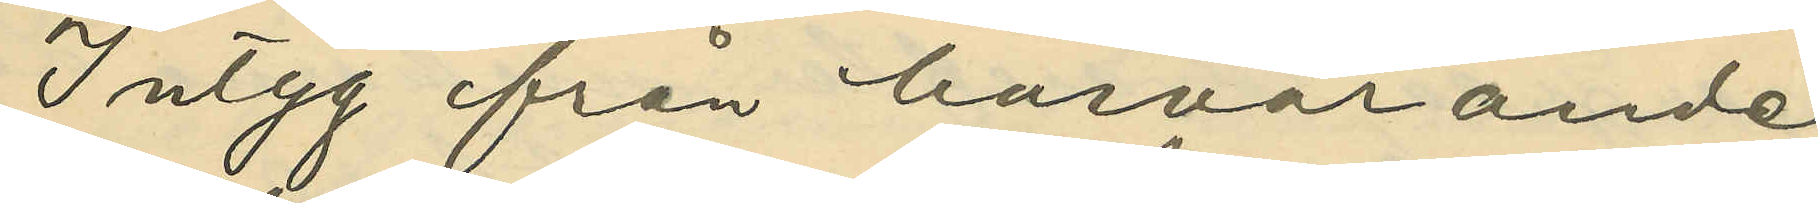Intyg från härvarande
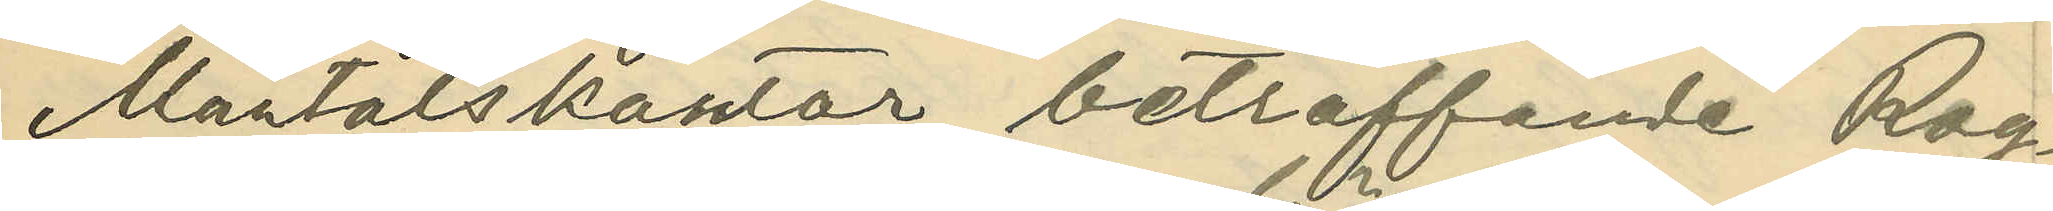Mantalskontor beträffande Rog¬
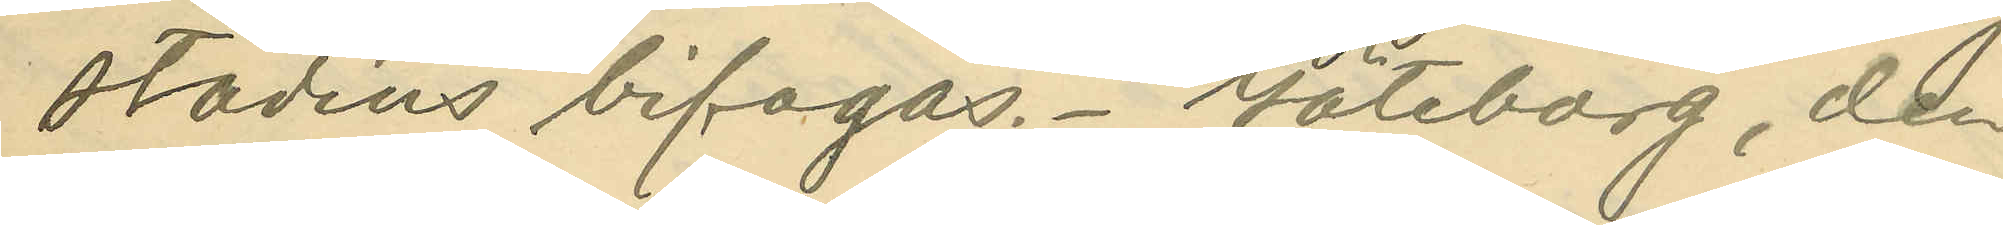stadius bifogas. Göteborg, den
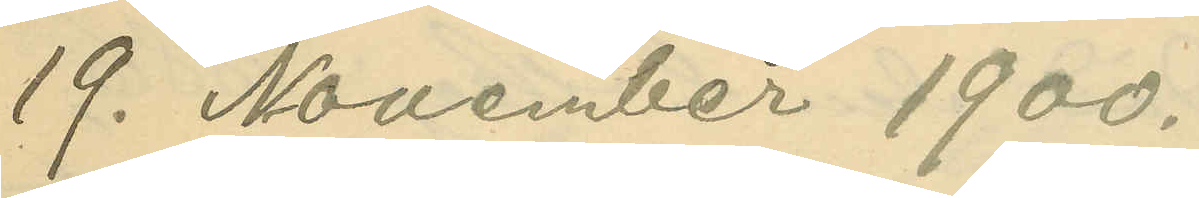19. November 1900.
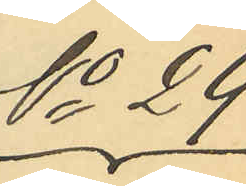No 29
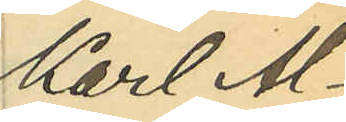Karl Al¬
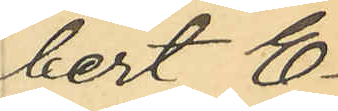bert E¬
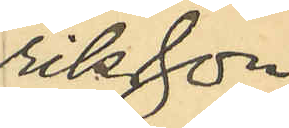riksson
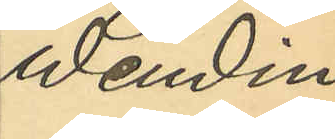Wendin
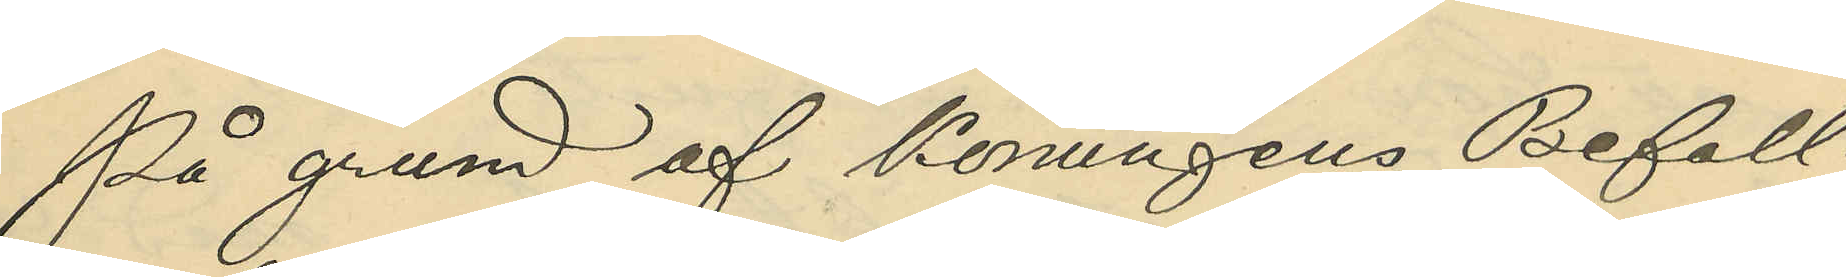På grund af Konungens Befall¬
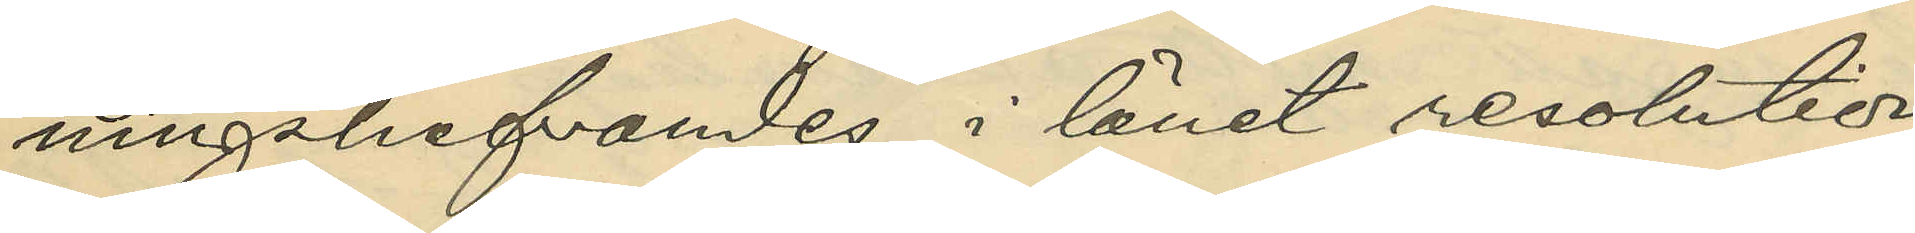ningshafvandes i länet resolution
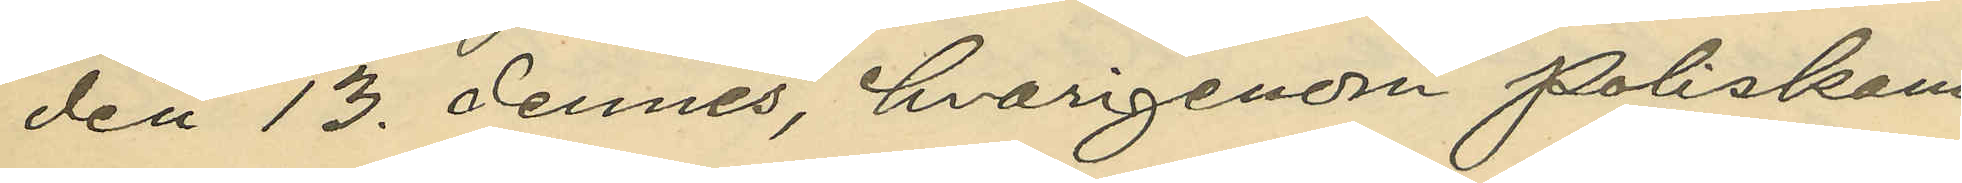den 13. dennes, hvarigenom Poliskam¬
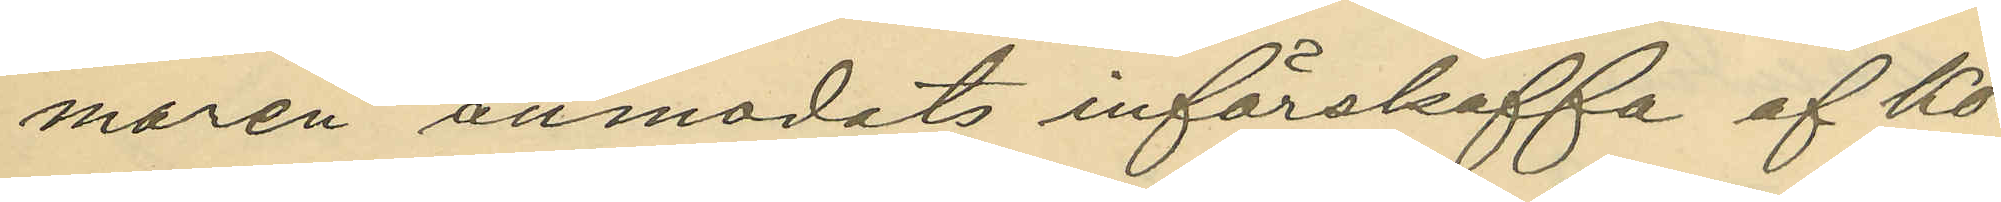maren anmodats införskaffa af Ko¬
